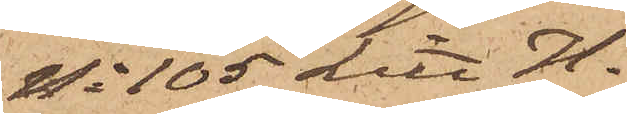No 105 Litt. H.
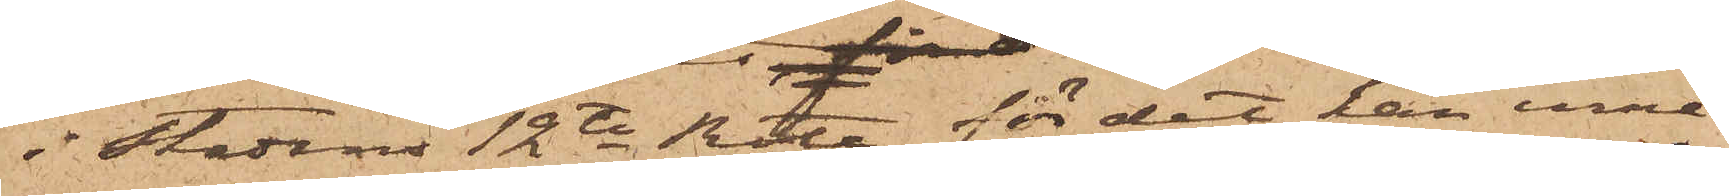i Stadens 12te Rote, för det han inne¬
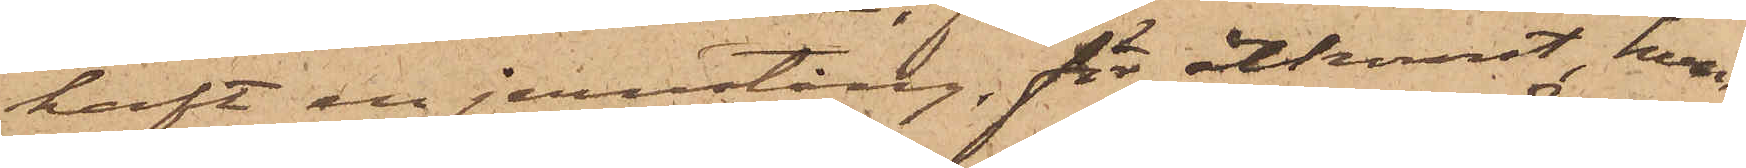haft en jernstång, för åtkomst, hvar¬
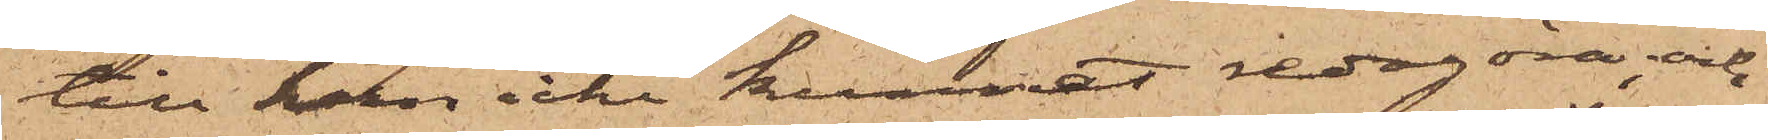till han icke kunnat redogöra, och
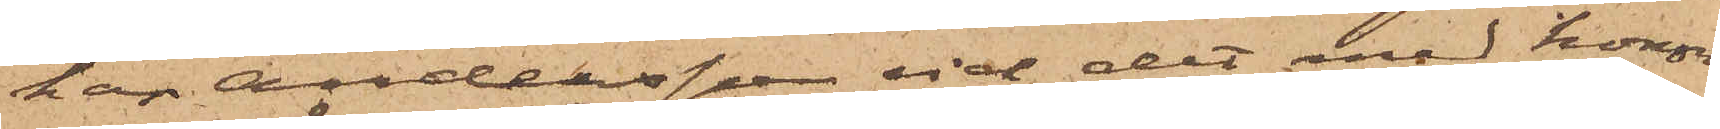har Andersson vid det med honom
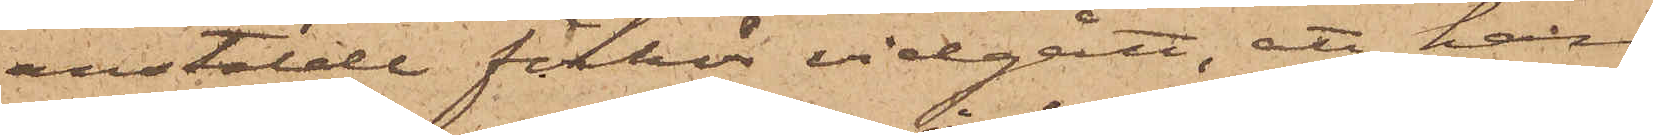anstälde förhör vidgått, att han
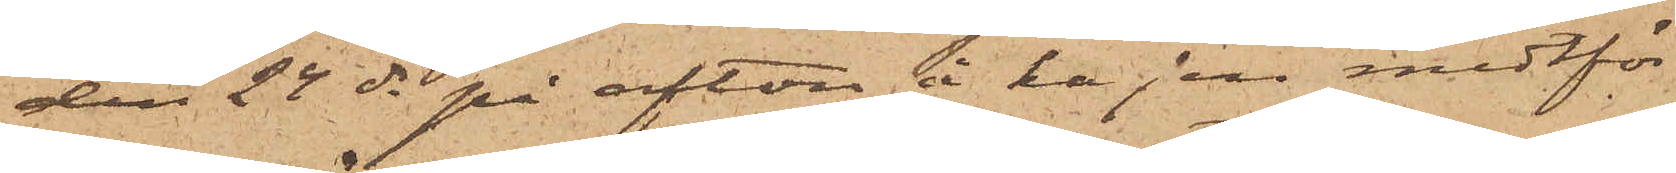den 24 ds på afton å kajen midtför
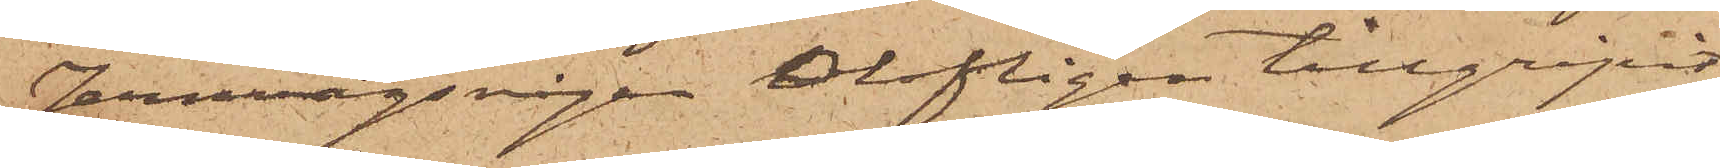Jernvägsvågen olofligen tillgripit
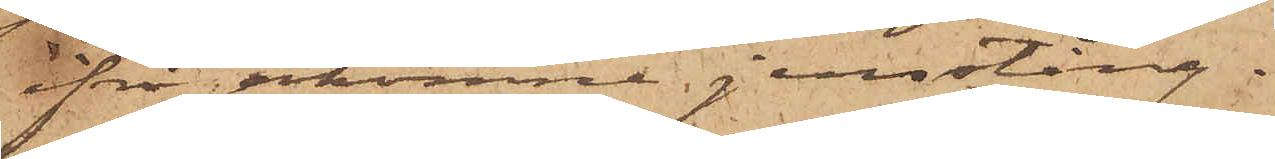ifrågakomne jernstång.
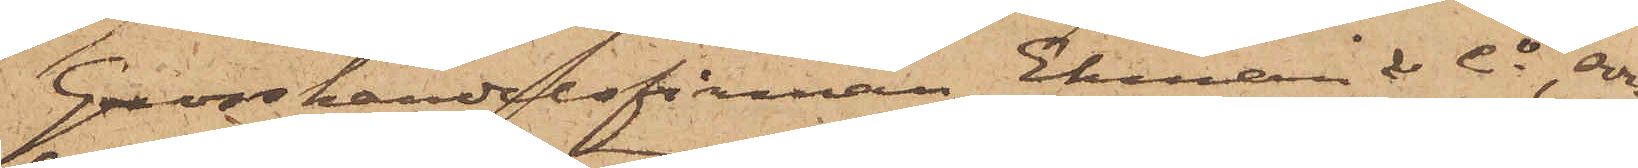Grosshandelsfirman Ekman & Co, som
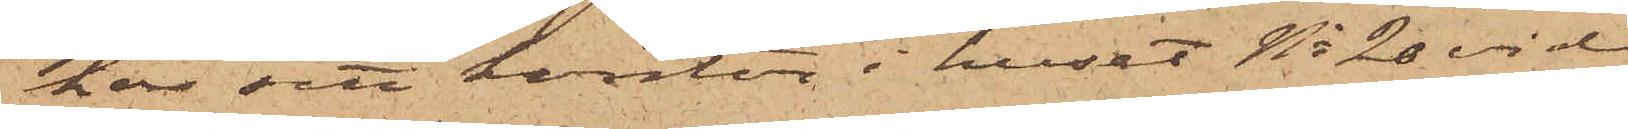har sitt kontor i huset No 20 vid
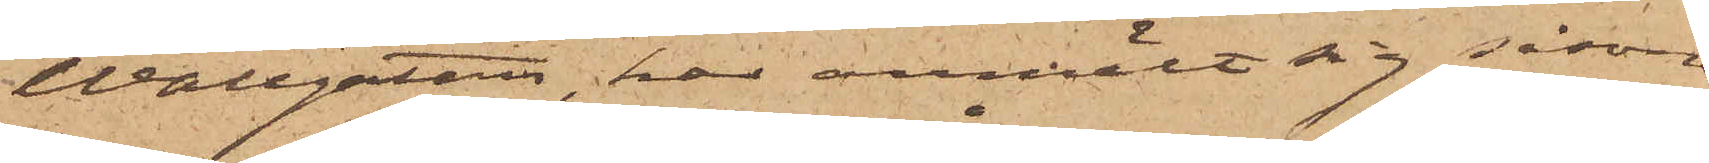Wallgatan, har anmält sig såsom
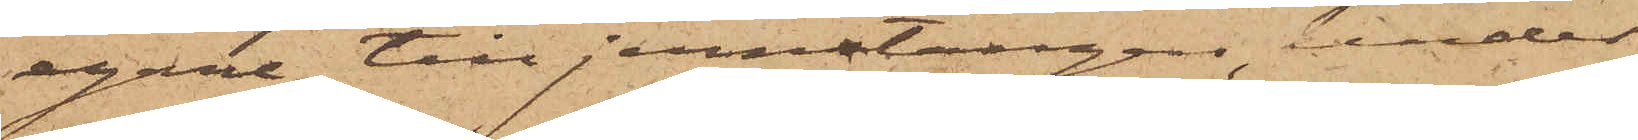egare till jernstången under
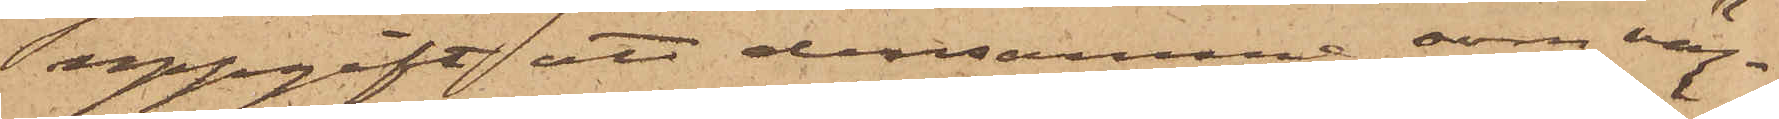uppgift att densamma, som väg¬
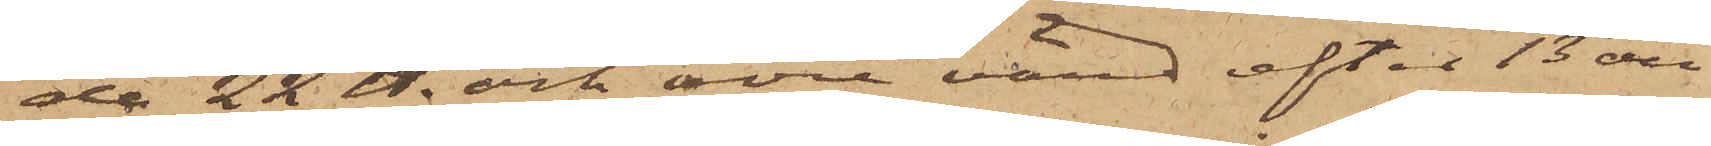de 22 ℔. och vore värd efter 13 öre
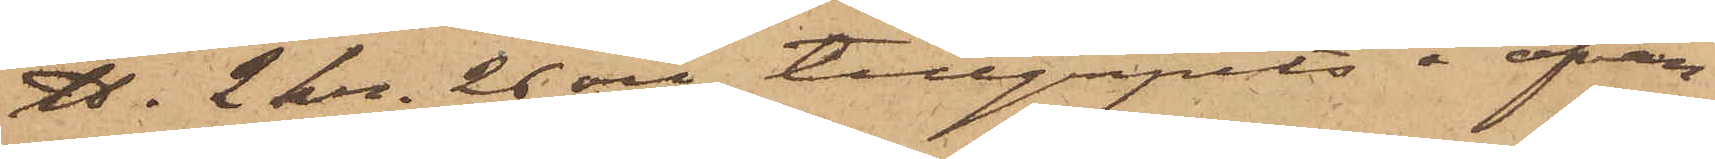℔. 2 kr. 26 öre tillgripits å ofvan¬
